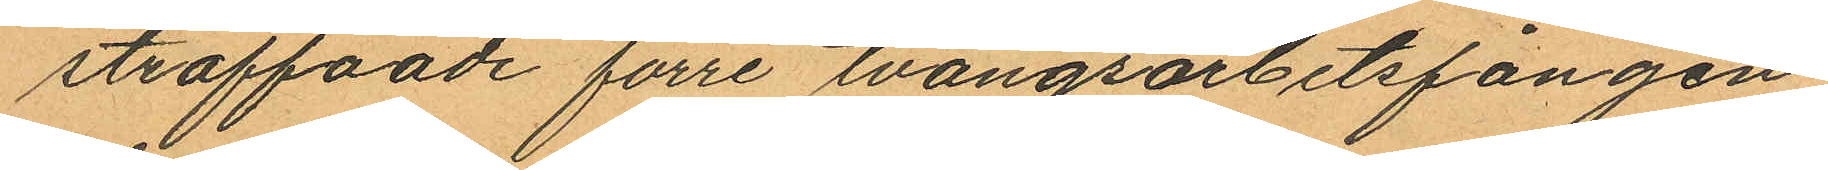straffande förre tvångsarbetsfången
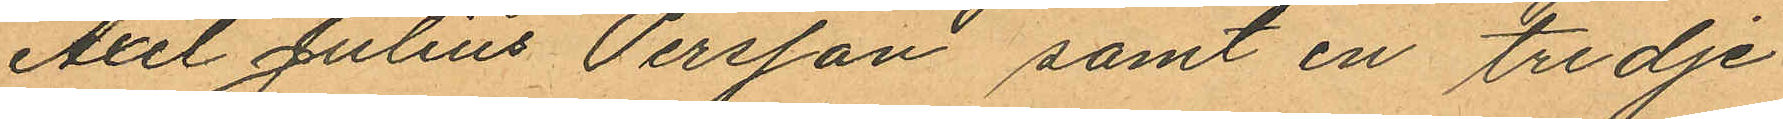Axel Julius Persson samt en tredje
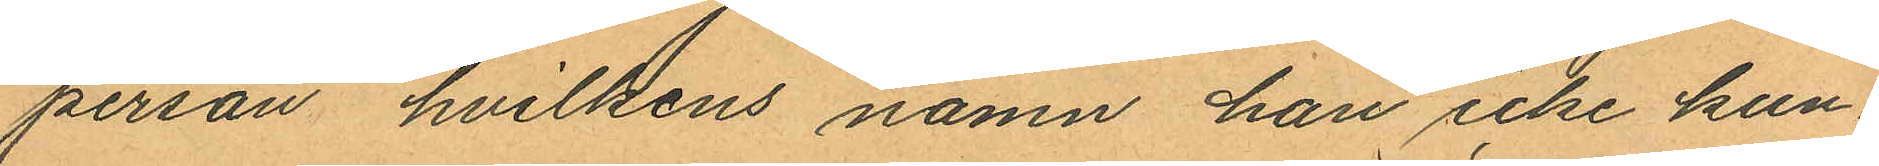person hvilkens namn han icke kun¬
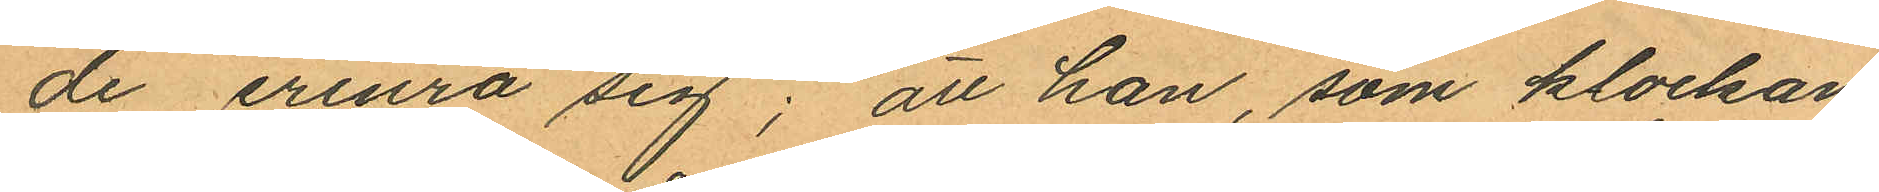de erinra sig; att han, som klockan
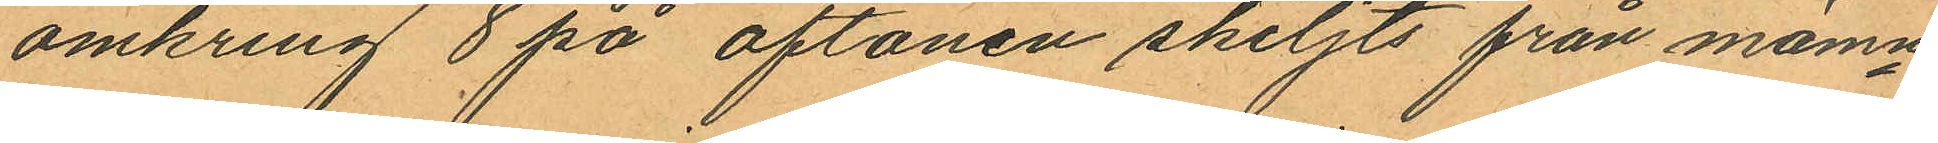omkring 8 på aftonen skiljts från mämn¬
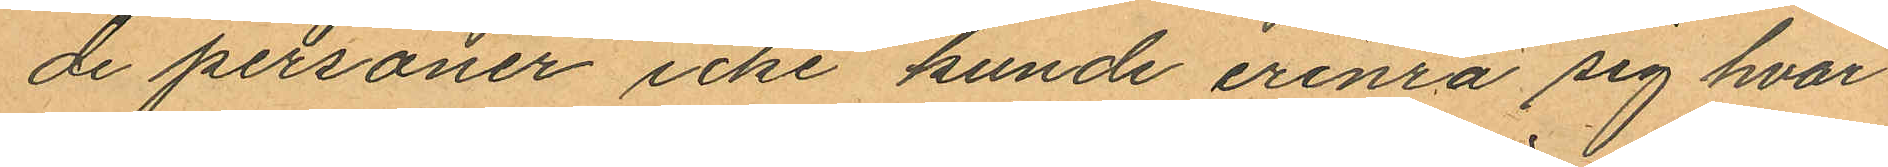de personer icke kunde erinra sig hvar
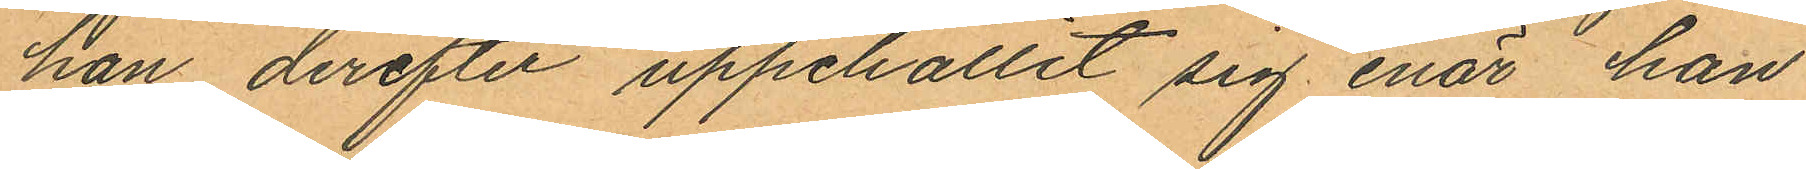han derefter uppehållit sig enär han
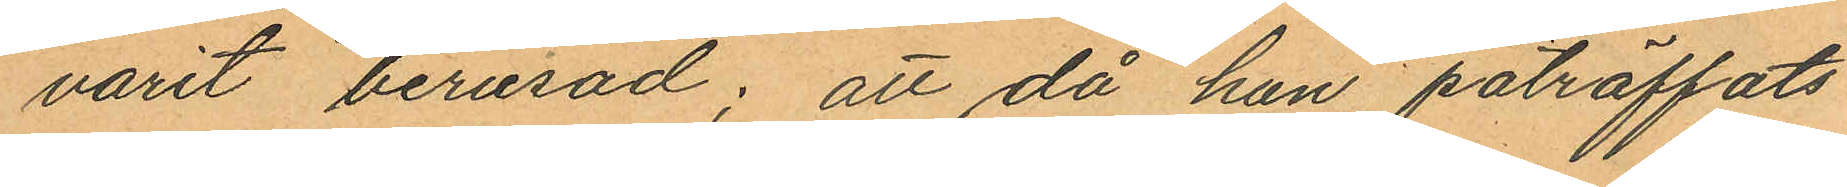varit berusad; att då han påträffats
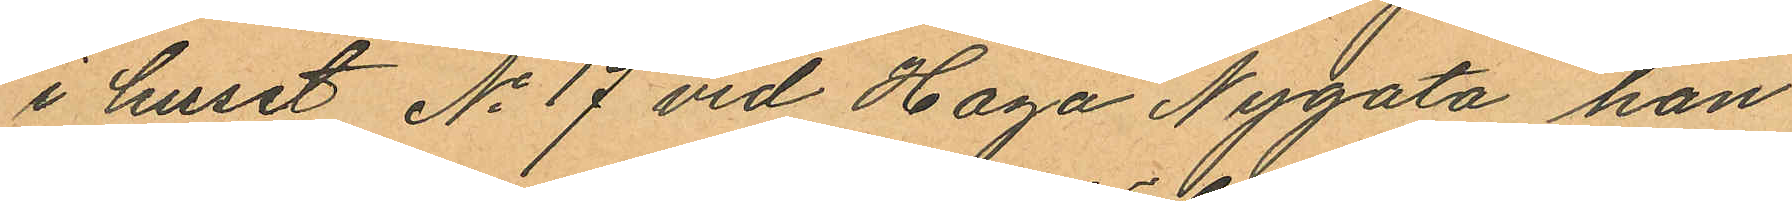i huset No 17 vid Haga Nygata han
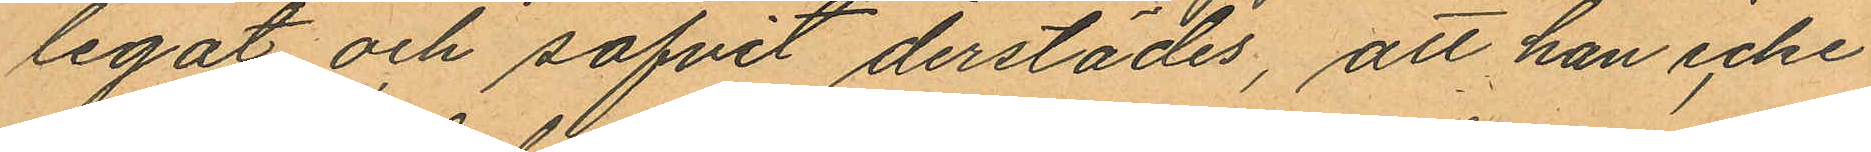legat och sofvit derstädes, att han icke
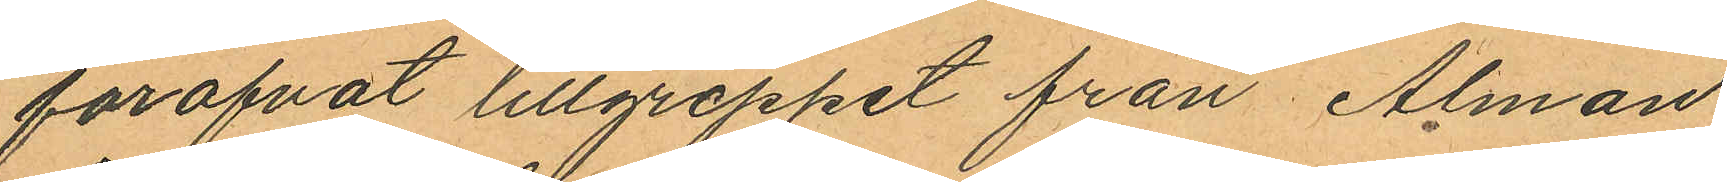föröfvat lillgreppet från Alman
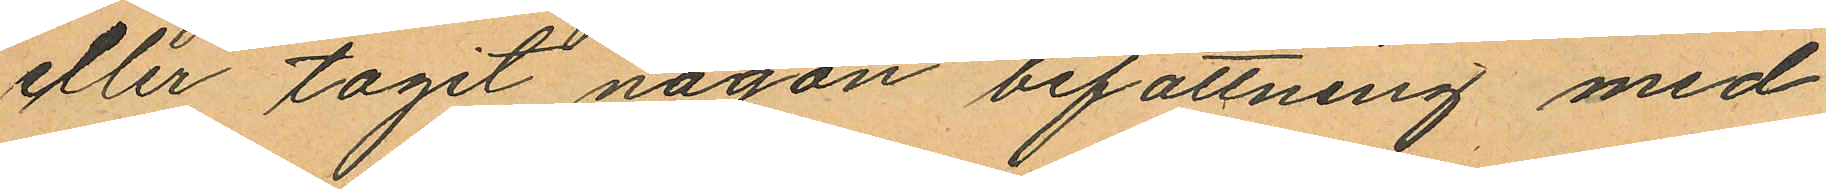eller tagit någon befattning med
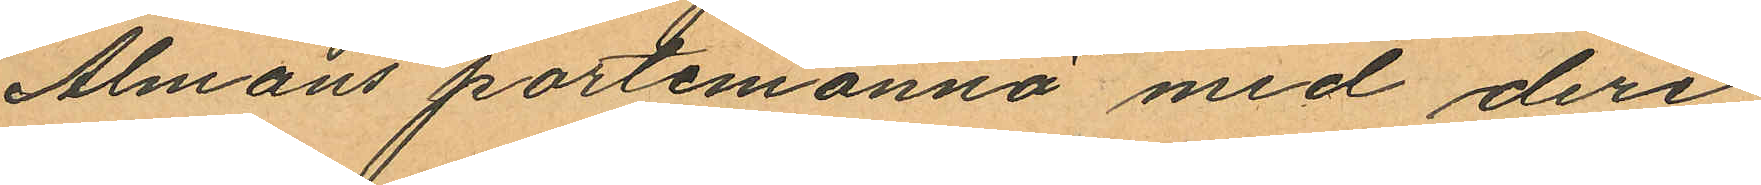Almans portemonnä med deri
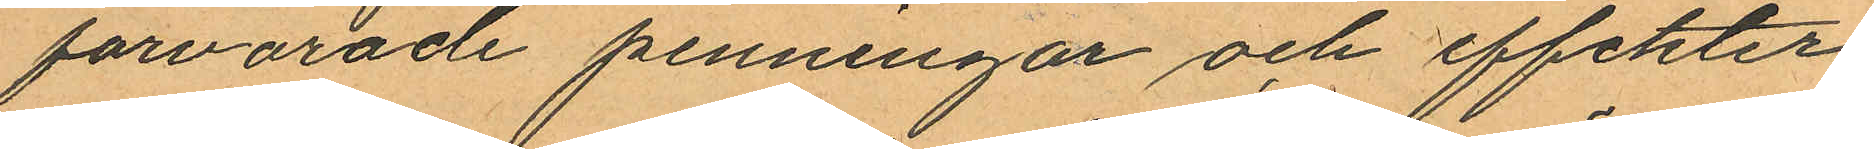förvarade penningar och effekter,
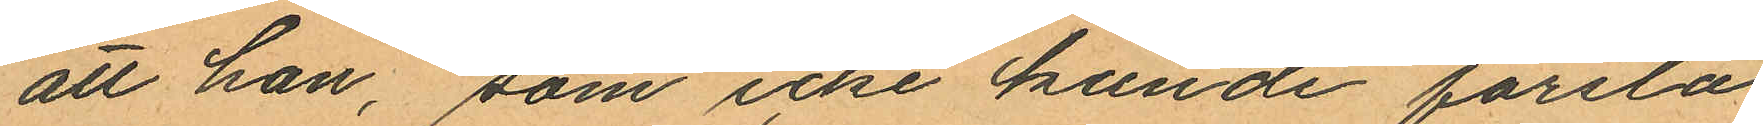att han, som icke kunde förstå
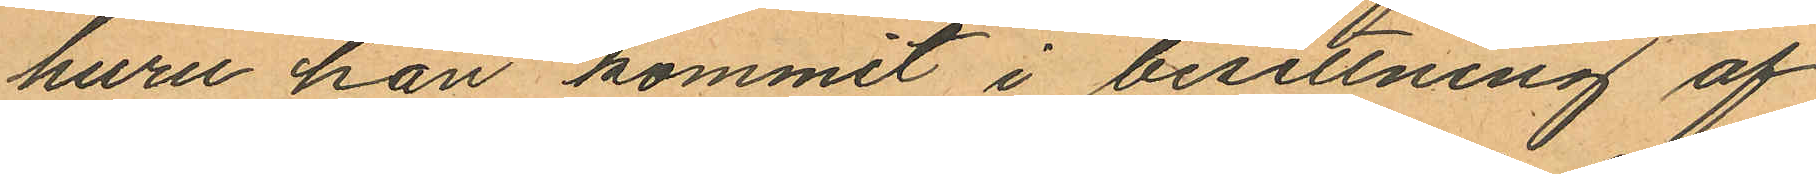huru han kommit i besittning af
